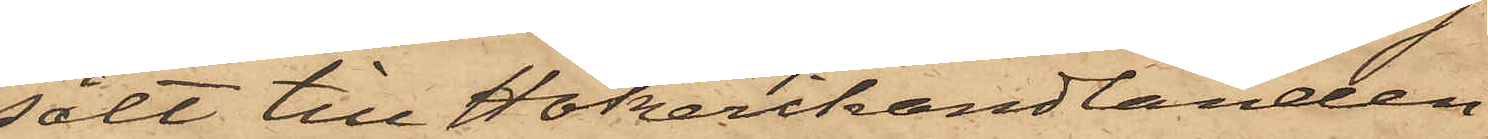sålt till Hökerihandlanden
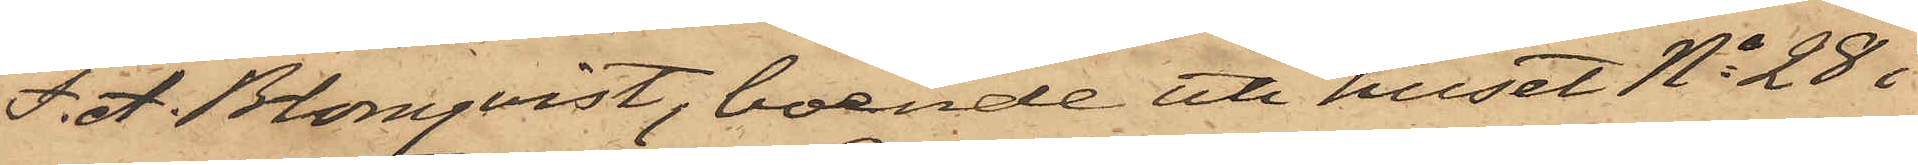F. A. Blomqvist, boende uti huset No 28 i
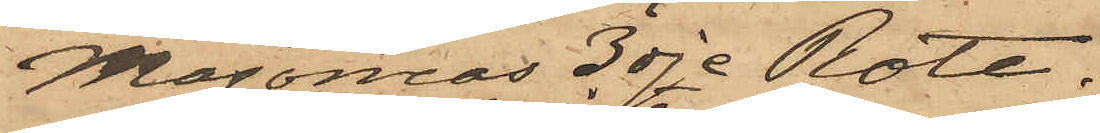Majornas 3dje Rote.
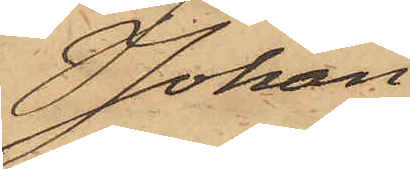Johan
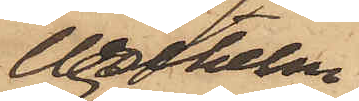Wilhelm
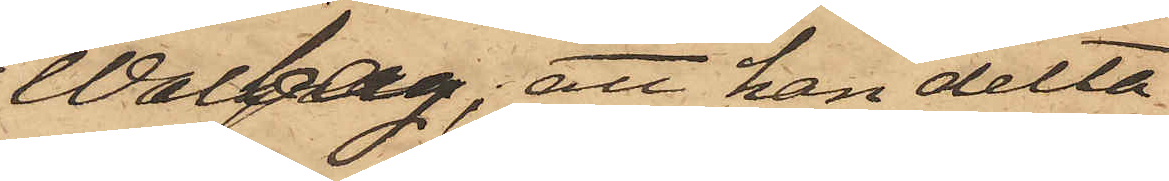Walberg; att han delta¬
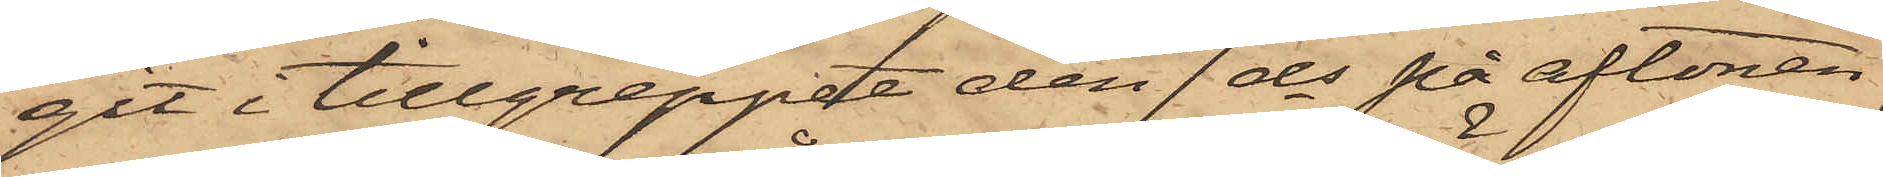git i tillgreppet den 7 ds på aftonen,
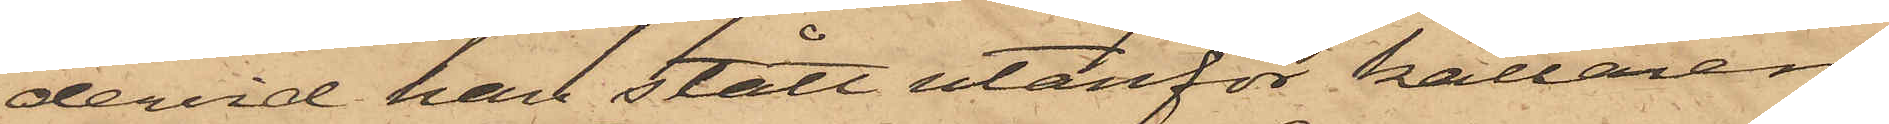dervid han stått utanför källaren,
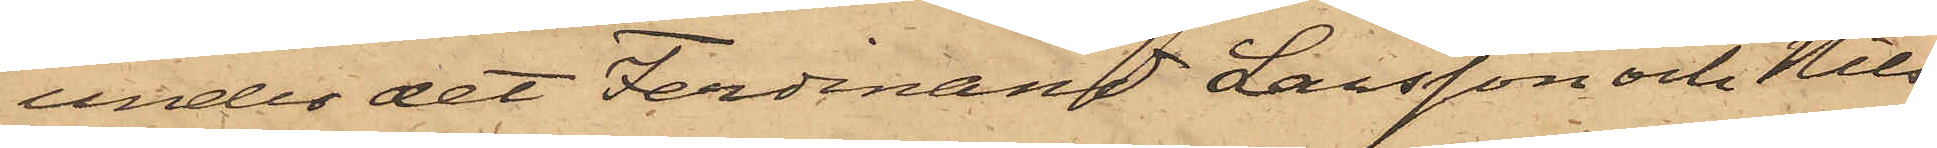under det Ferdinand Larsson och Nils¬
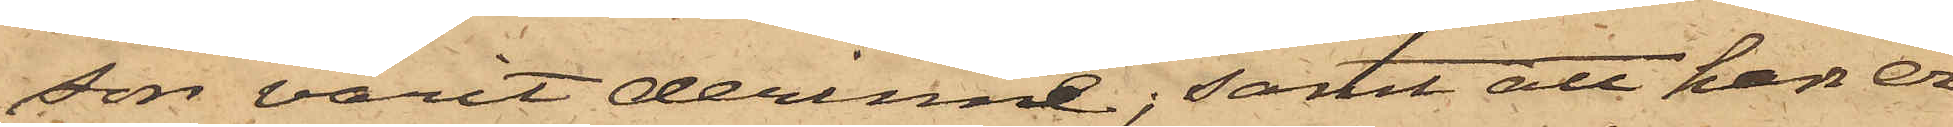son varit derinne; samt att han er¬
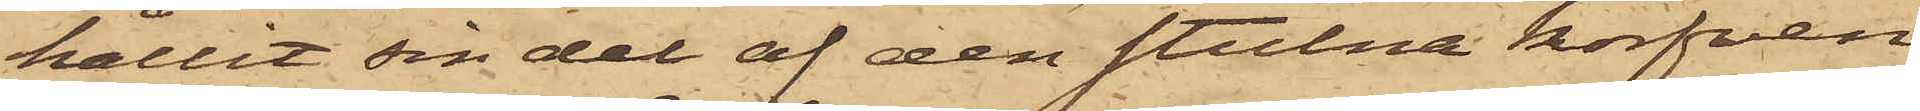hållit sin del af den stulna korfven
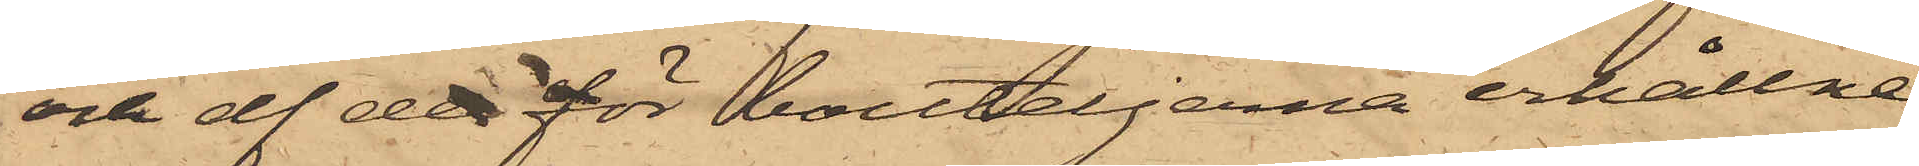och af de för bouteljerna erhållne
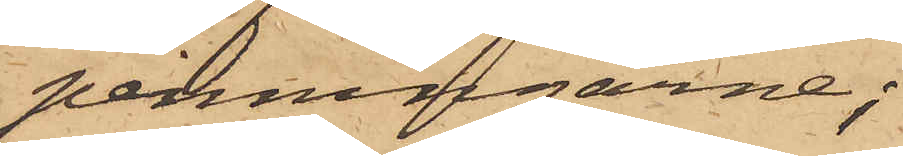penningarne;
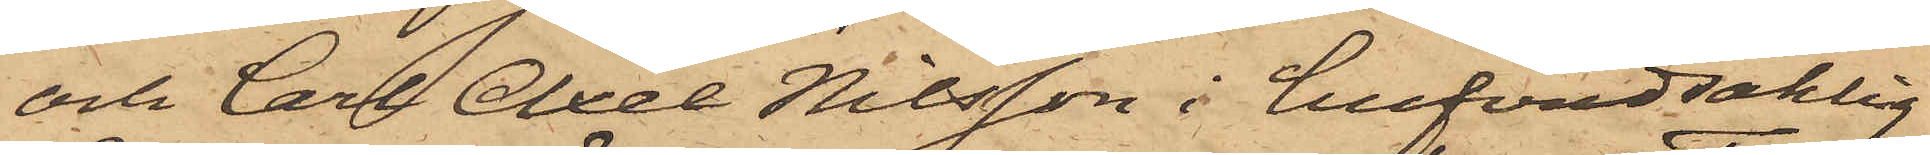och Carl Axel Nilsson i hufvudsaklig
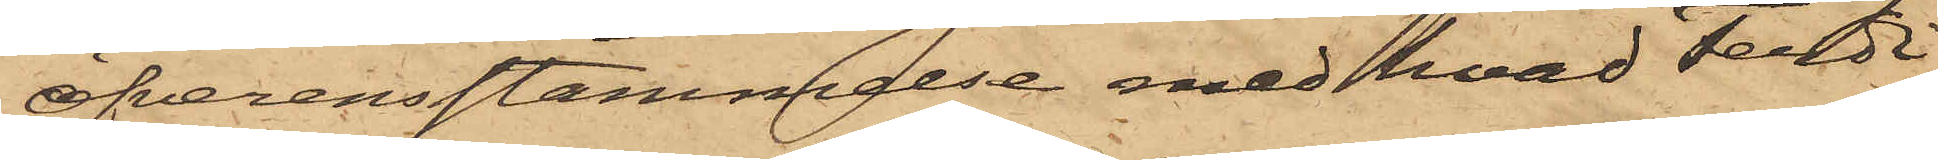öfverensstämmelse med hvad Ferdi¬
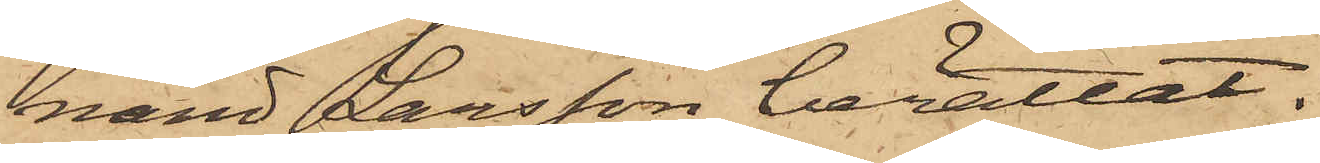nand Larsson berättat.
